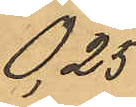0,25
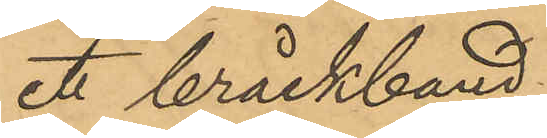ett bråckband
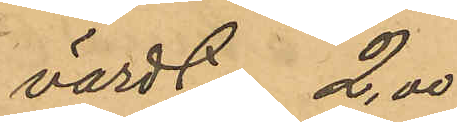värdt " 2,00
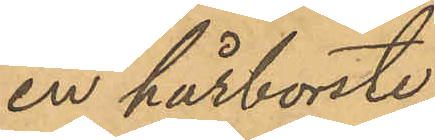en hårborste
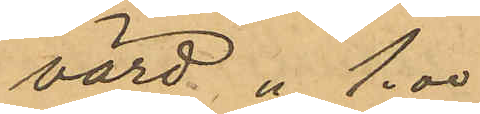värd " 1.00
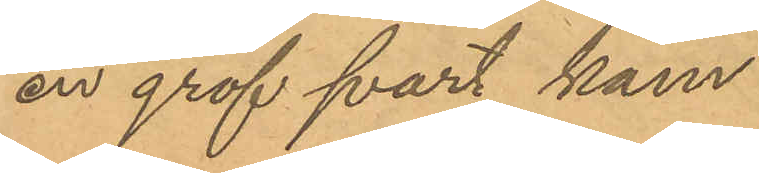en grof svart kam
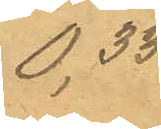0,33
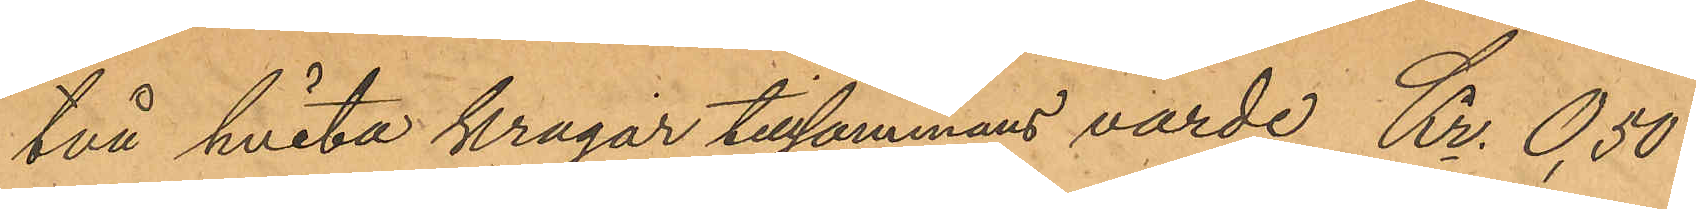två hvita kragar tillsammans värde Kr. 0,50
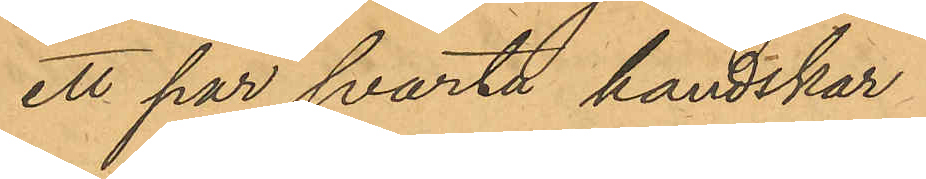ett par svarta handskar
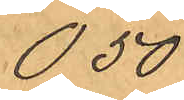0,50
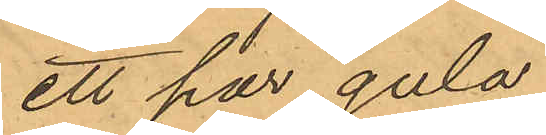ett par gula
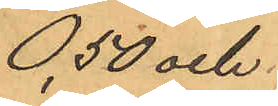0,50 och
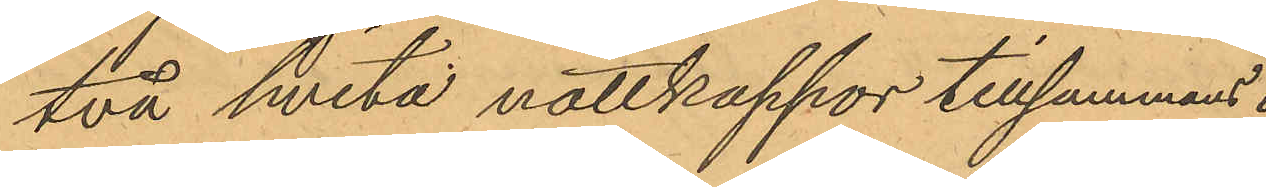två hvita nattkappor tillsammans
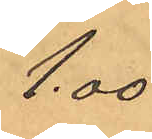1,00
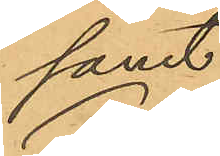samt
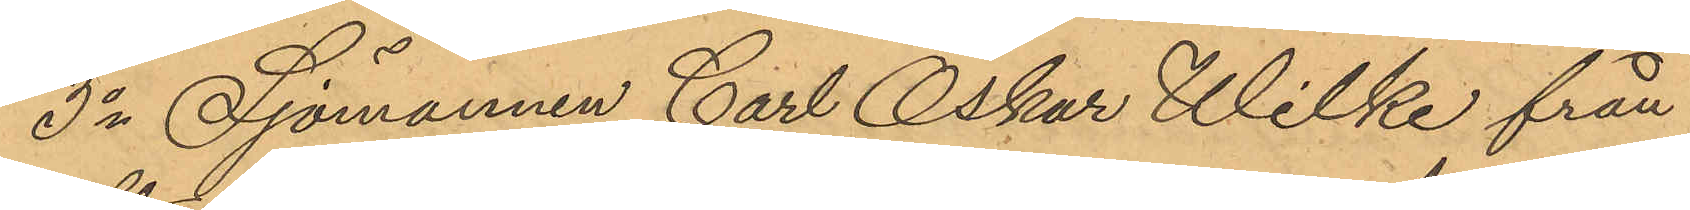3o Sjömannen Carl Oskar Wilke från
